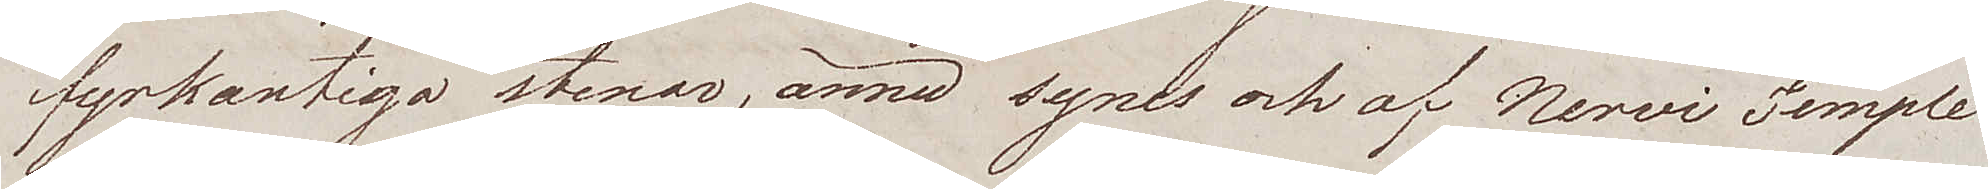fyrkantiga stenar, ännu synes och af Nervi Temple
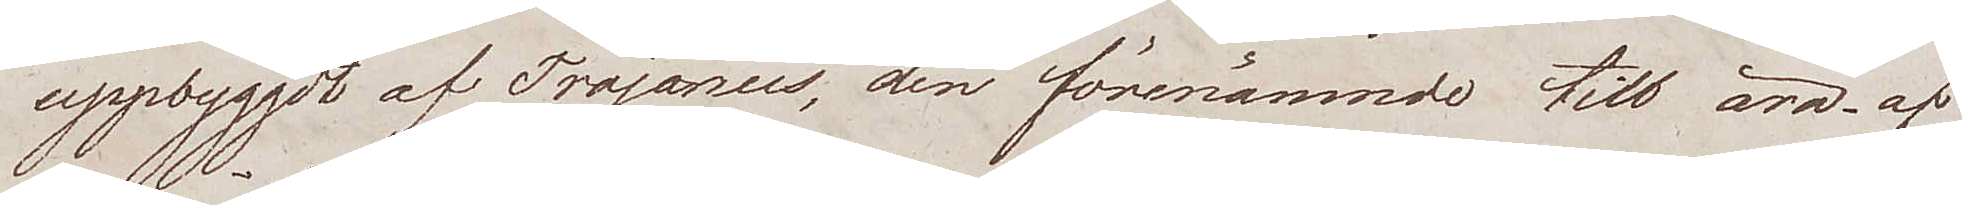uppbyggdt af Trajanus, den förenämnde till ära af
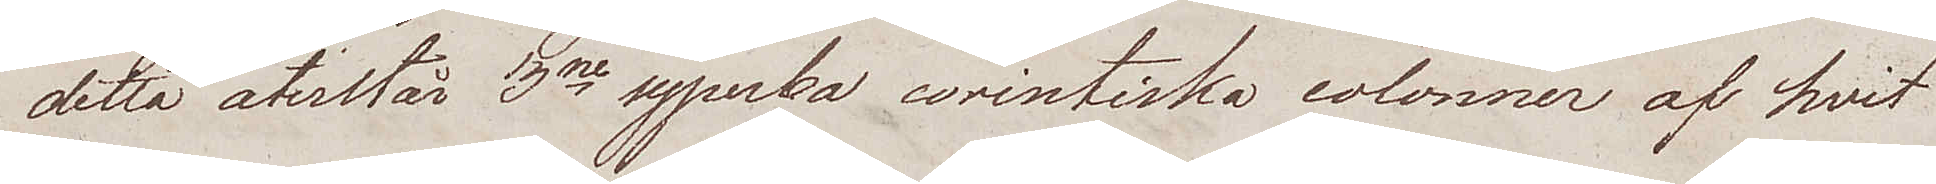detta återstår 3ne syperba corintiska colonner af hvit
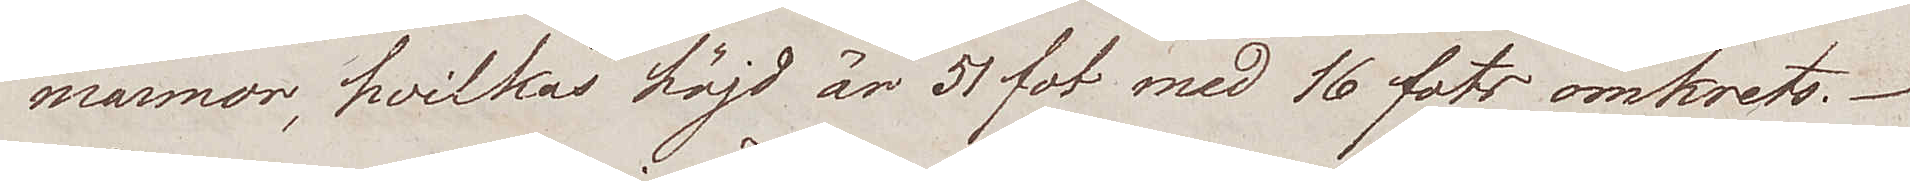marmor, hvilkas höjd är 51 fot med 16 fots omkrets.
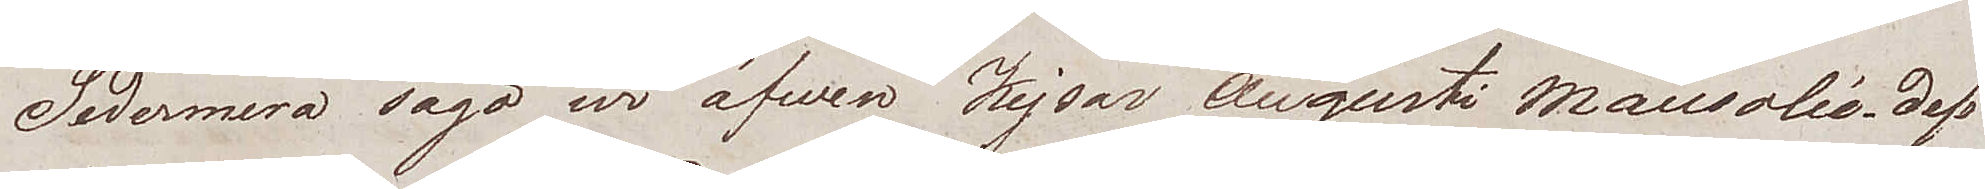Sedermera sågo wi äfwen Kejsar Augusti Mausolié. dess
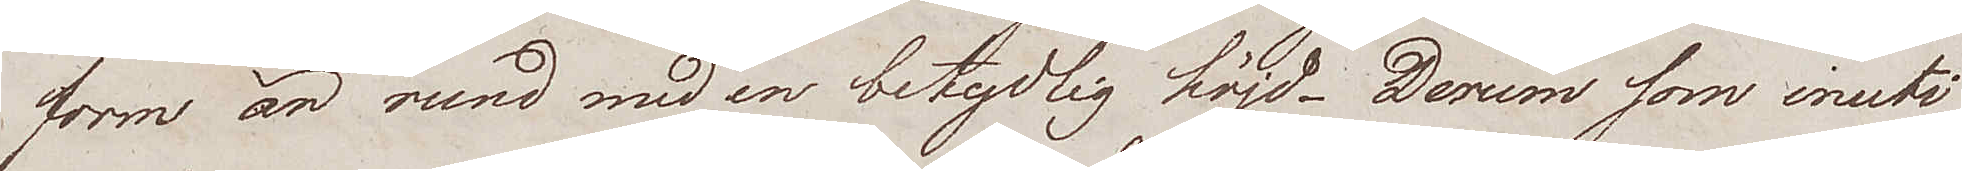form än rund med en betydlig höjd. Derum som inuti
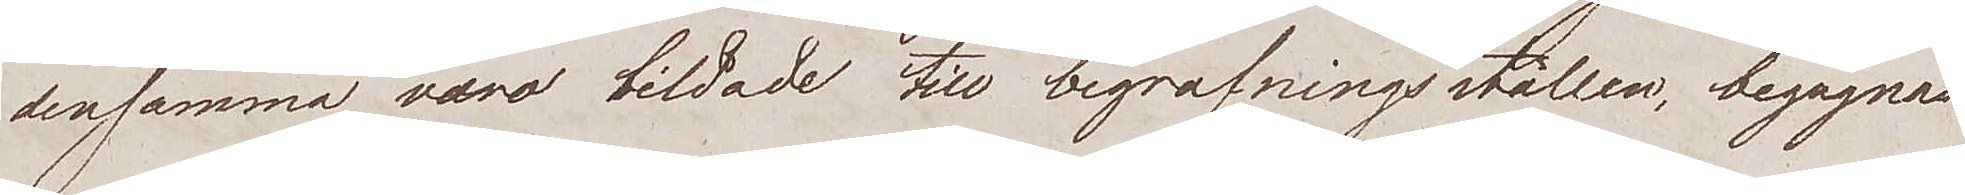densamma voro bildade till begrafningsställen, begagnas
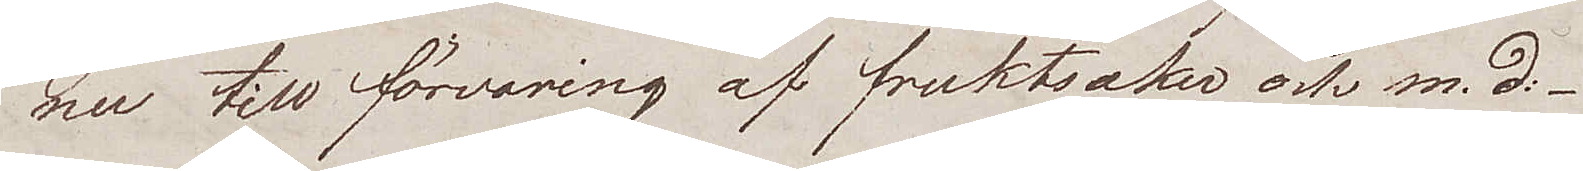nu till förvaring af fruktsaker och m. d:
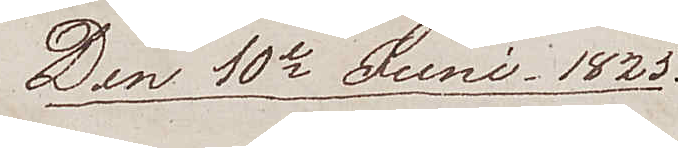Den 10de Juni 1825
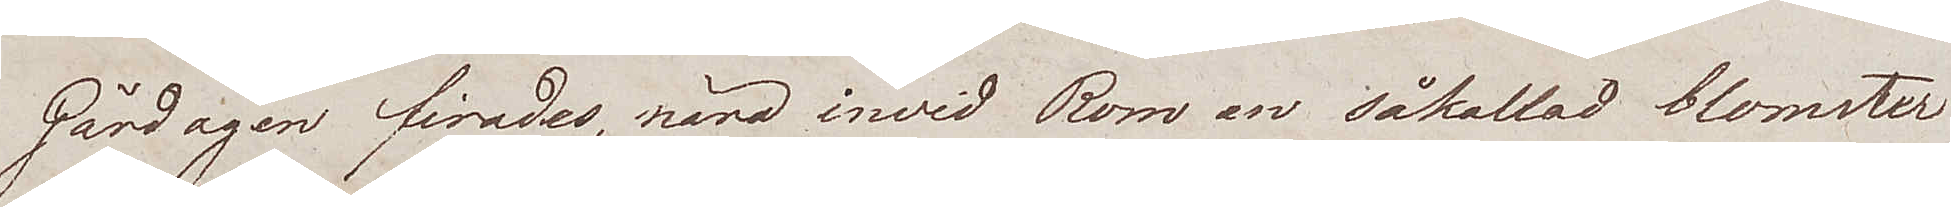Gårdagen firades, nära invid Rom en såkallad blomster¬
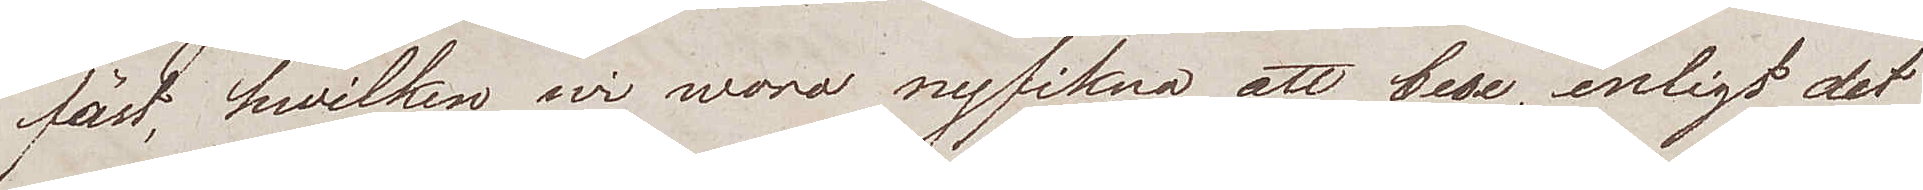fäst, hvilken wi woro nyfikna att bese, enligt det
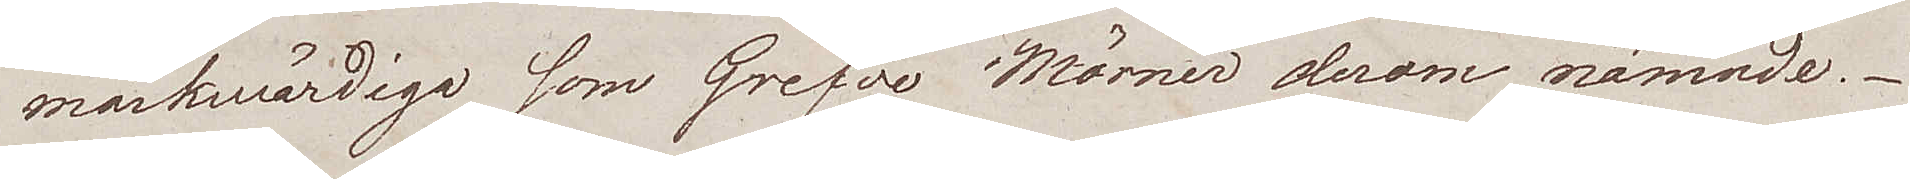märkwärdiga som Grefve Mörner derom nämnde.
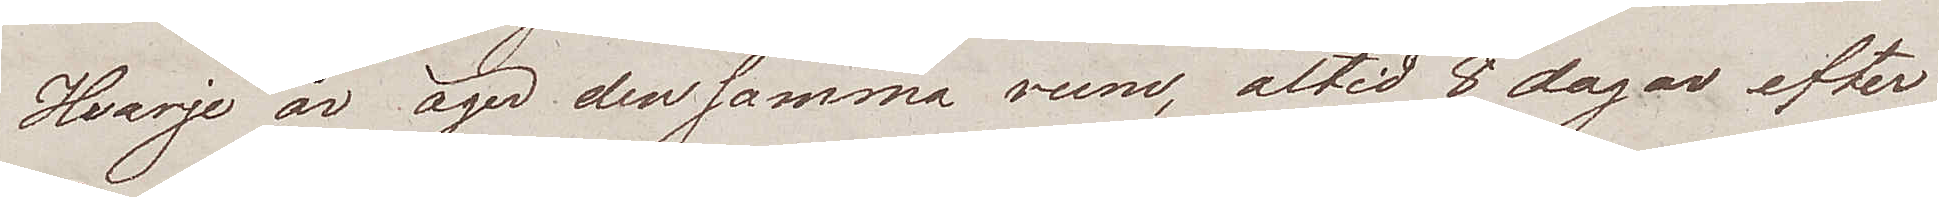Hvarje år äger den samma rum, altid 8 dagar efter
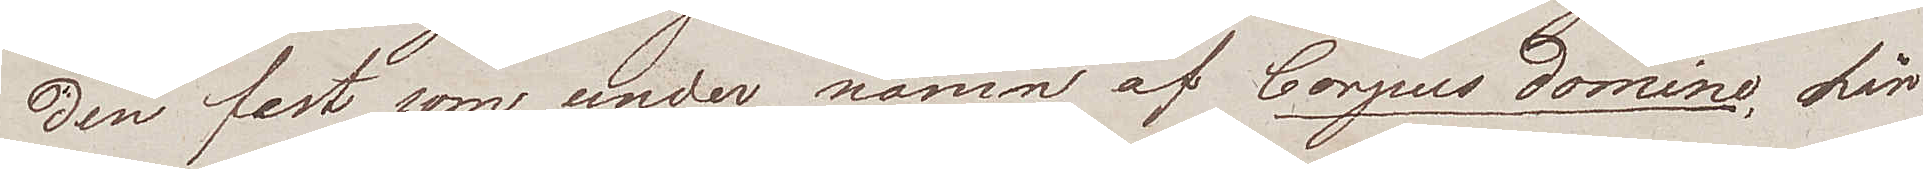den fest som under namn av Corpus Domine, här
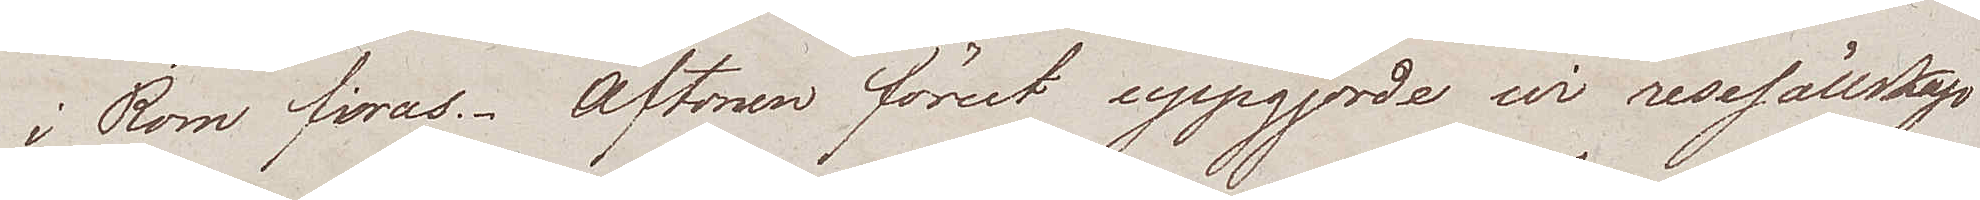i Rom firas. Aftonen förut uppgjorde vi resesällskap
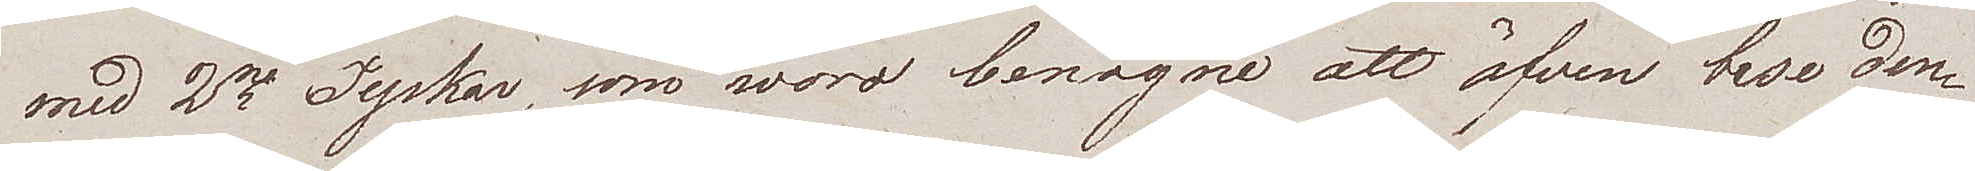med 2ne Tyskar, som woro benägna att äfven bese den¬
